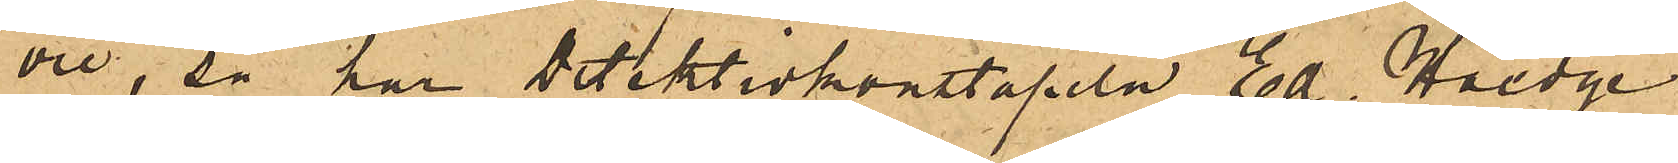öre, så har detektivkonstapeln Ed. Hedge
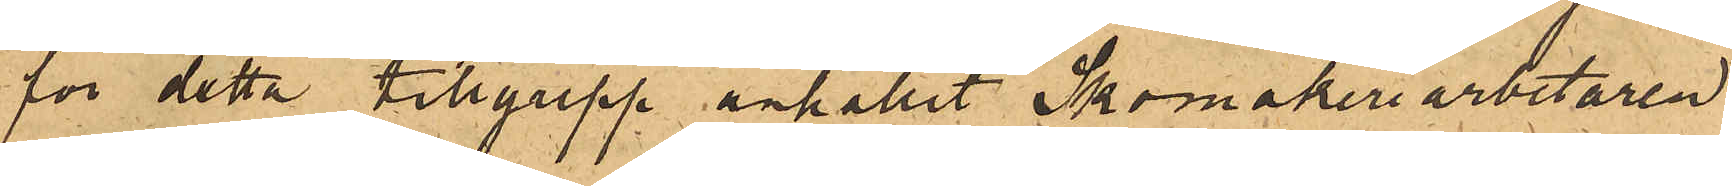för detta tillgrepp anhållit Skomakeriarbetaren
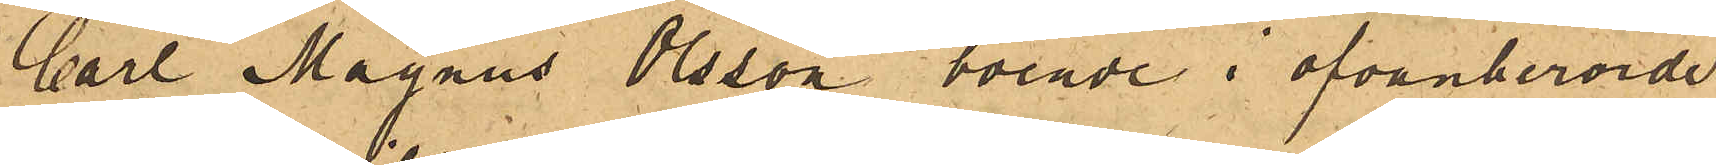Carl Magnus Olsson, boende i ofvanberörde
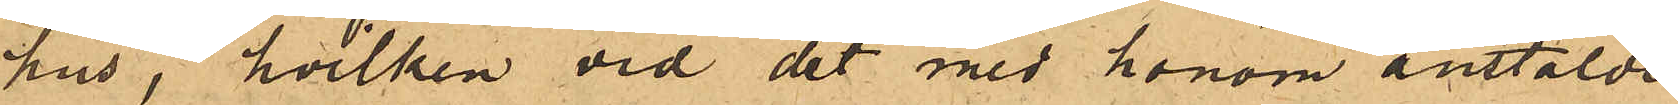hus, hvilken vid det med honom anstälde
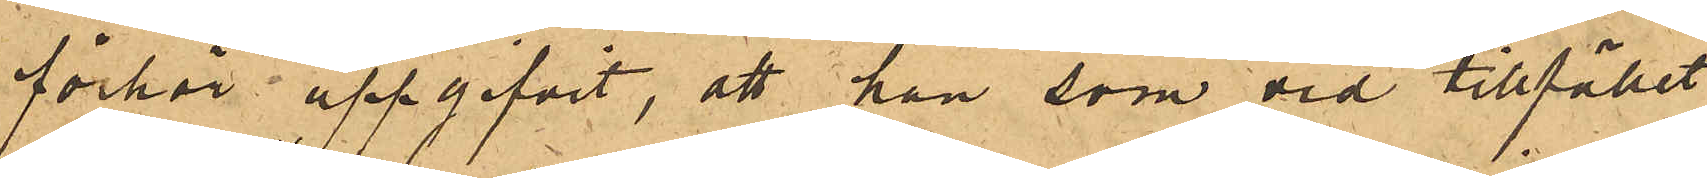förhör uppgifvit, att han som vid tillfället
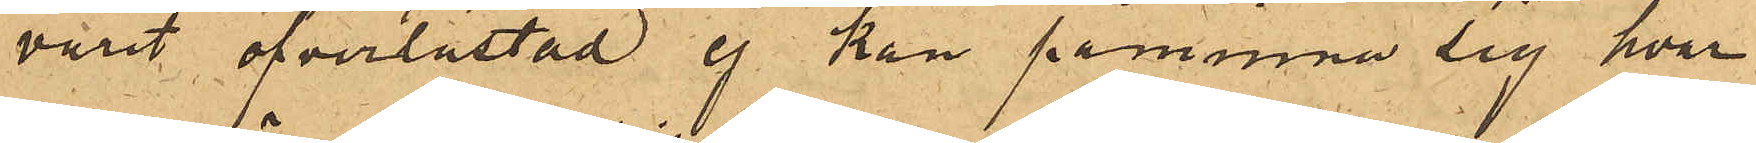varit öfverlastad ej kan påminna sig hvar
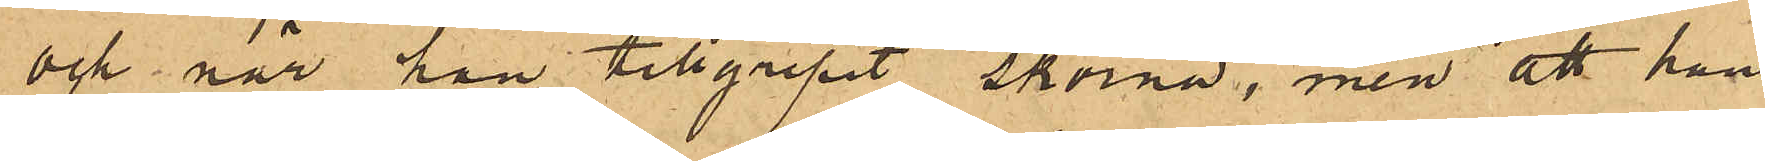och när han tillgripit skorna, men att han
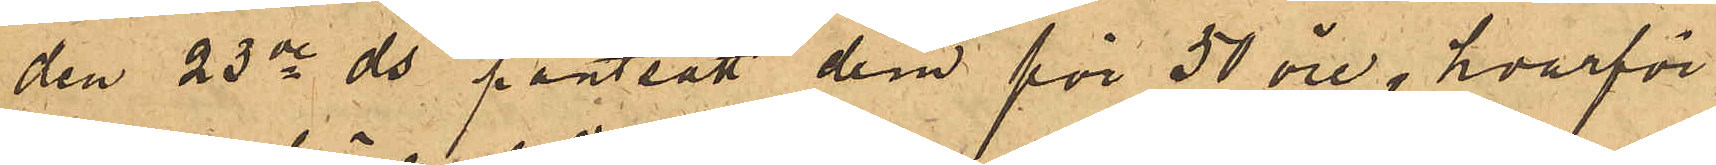den 23de ds pantsatt dem för 50 öre, hvarför
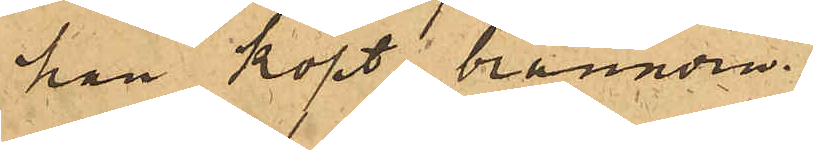han köpt brännvin.
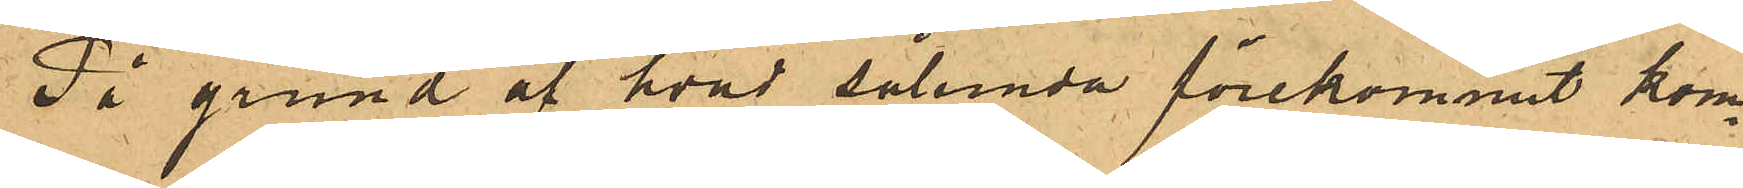På grund af hvad sålunda förekommit kom¬
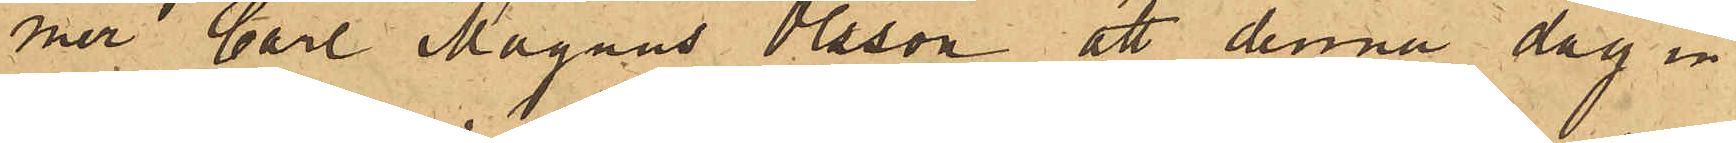mer Carl Magnus Olsson att denna dag in
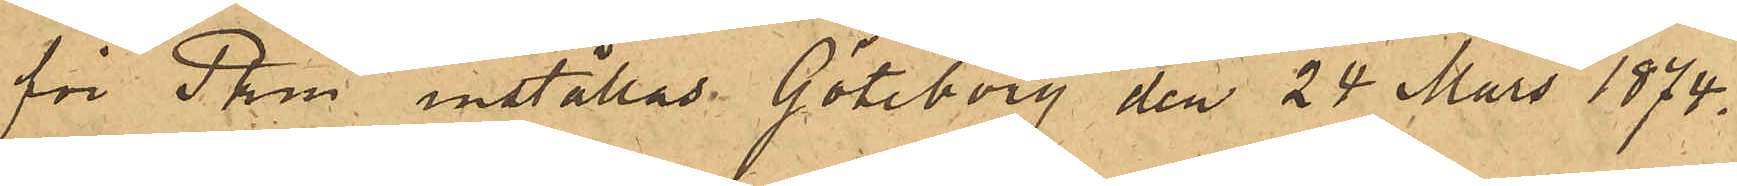för Pkm inställas. Göteborg den 24 Mars 1874.
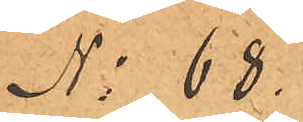No 68.
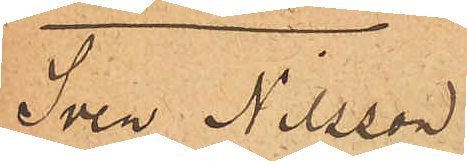Sven Nilsson
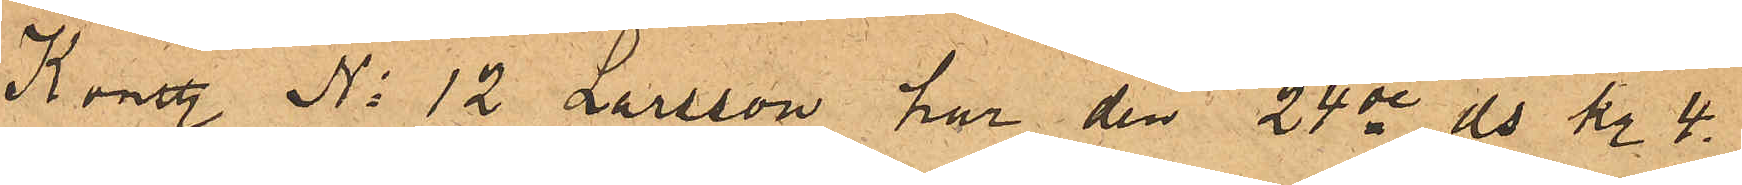Konstl No 12 Larsson har den 24de ds kl. 4.
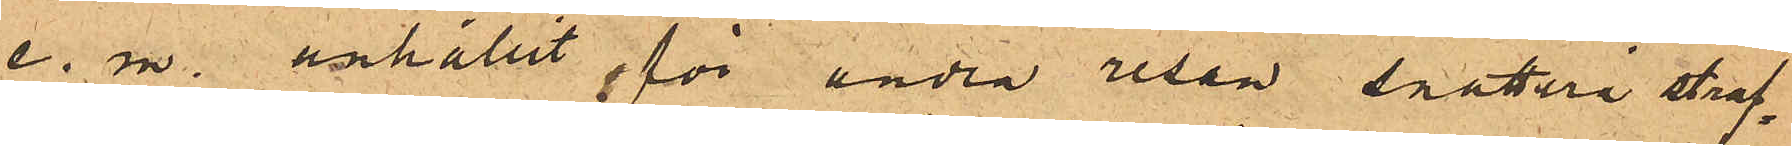e. m. anhållit för andra resan snatteri straf¬
